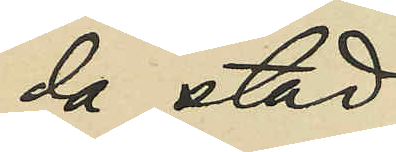da stad;
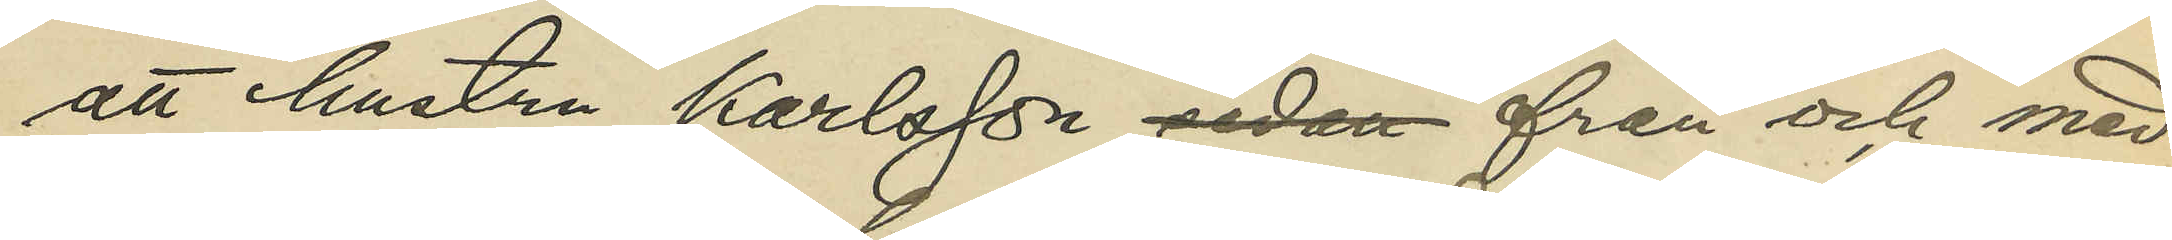att hustru Karlsson sedan från och med
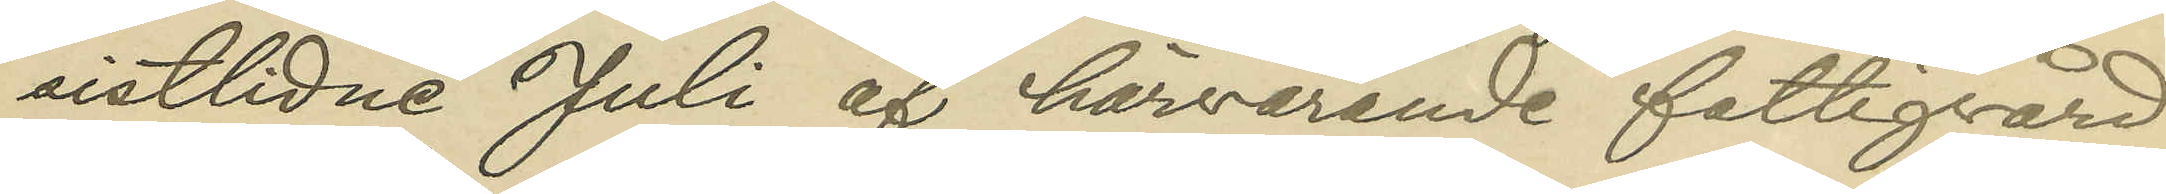sistlidne Juli af härvarande fattigvård
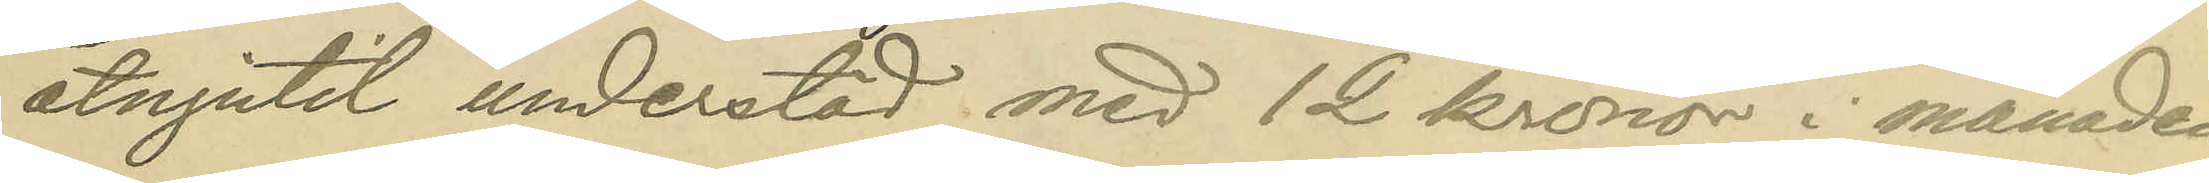åtnjutit understöd med 12 kronor i månaden;
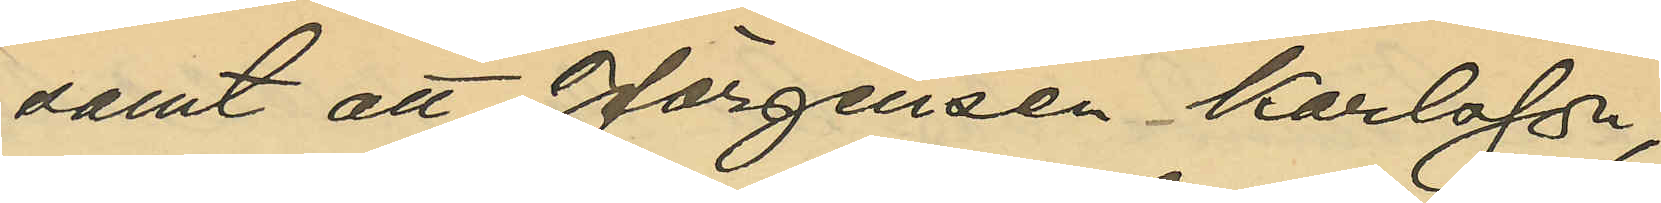samt att Jörgensen - Karlsson
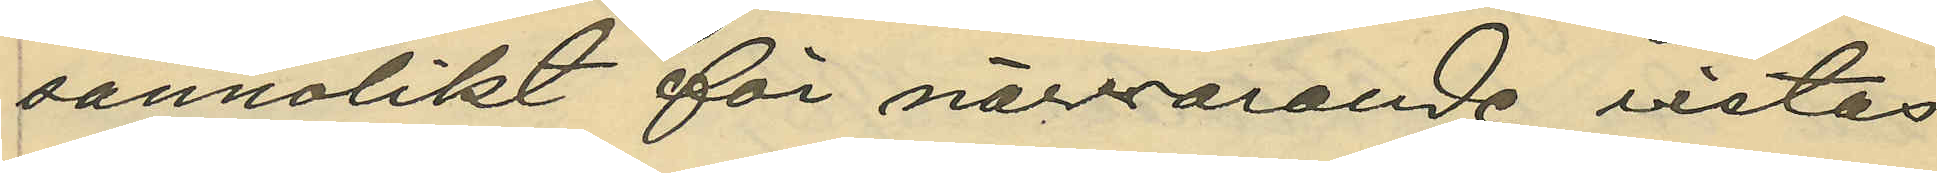sannolikt för närvarande vistas
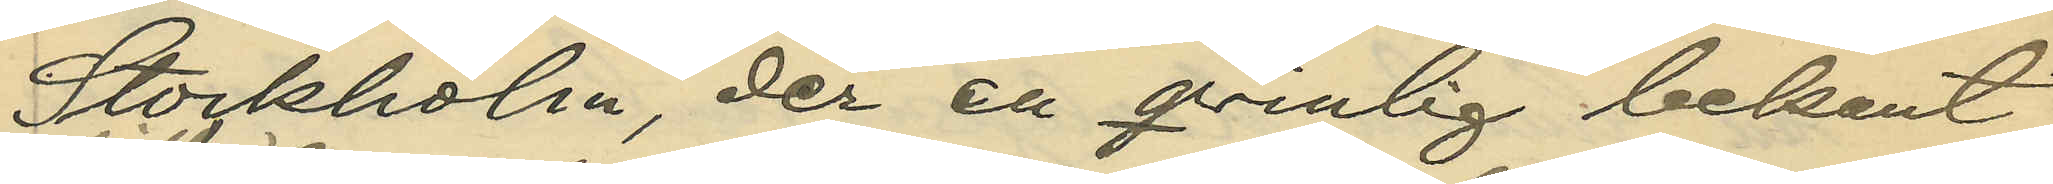Stockholm der en qvinlig bekant
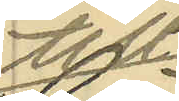till
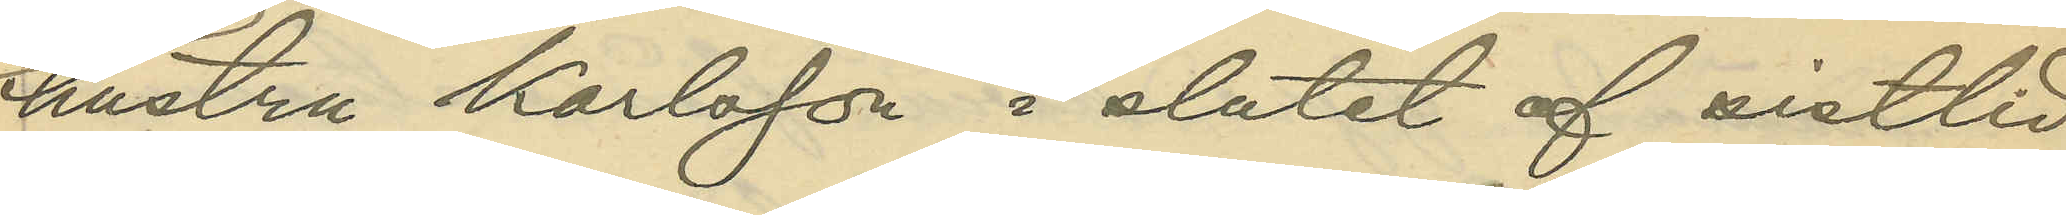hustru Karlsson i slutet af sistlid¬
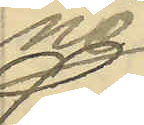ne
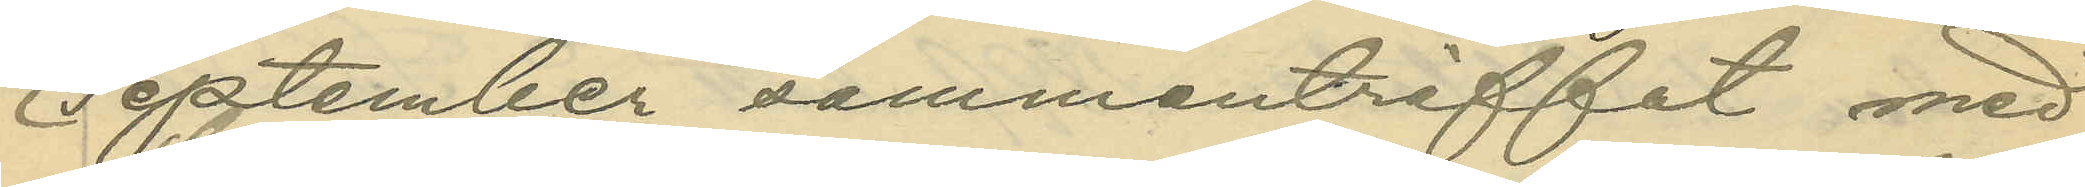September sammanträffat med
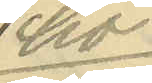ho¬
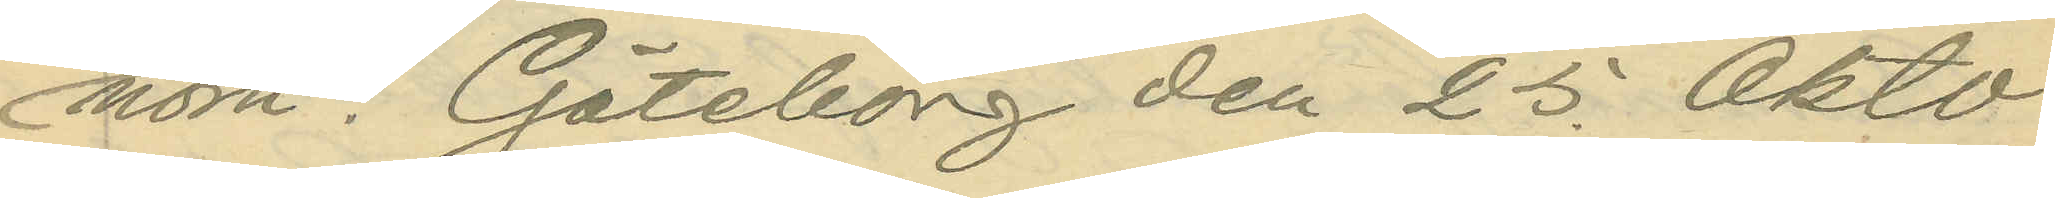nom.    Göteborg den 25. Okto¬
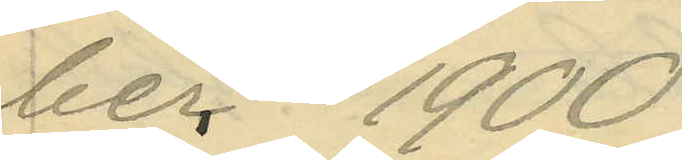ber 1900.
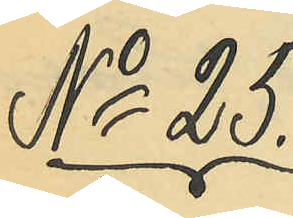No 25.
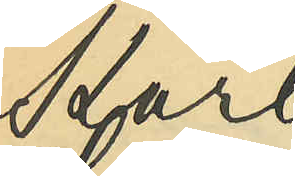Karl
